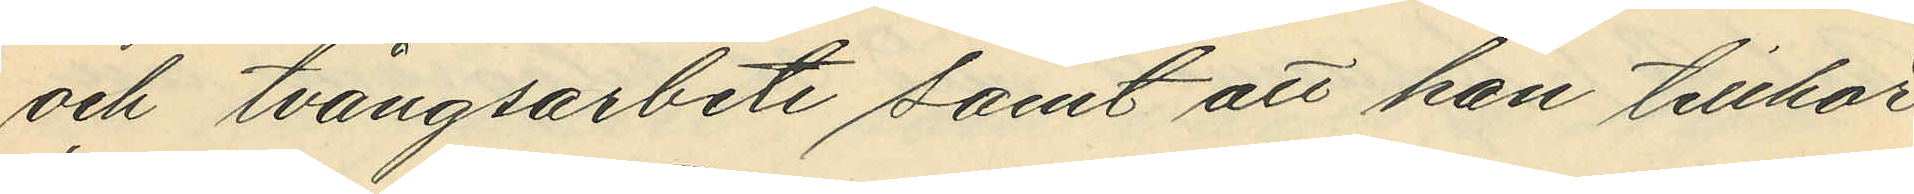och tvångsarbete samt att han tillhör
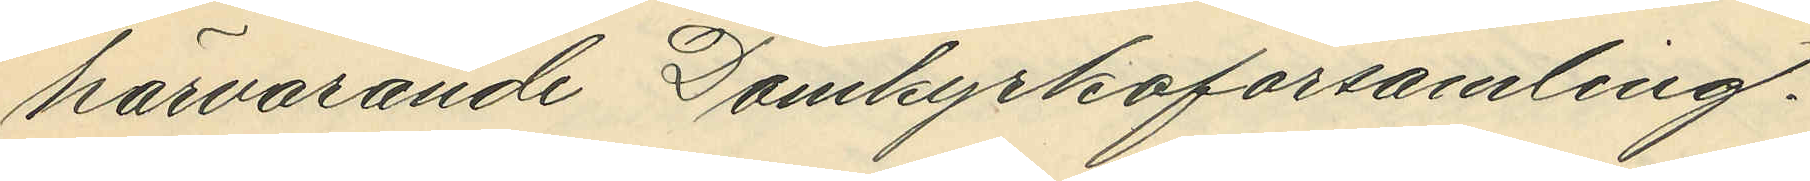härvarande Domkyrkoförsamling.
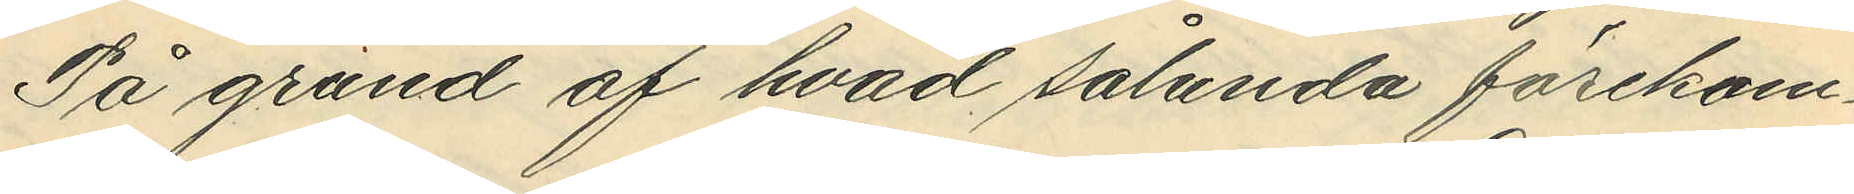På grund af hvad sålunda förekom¬
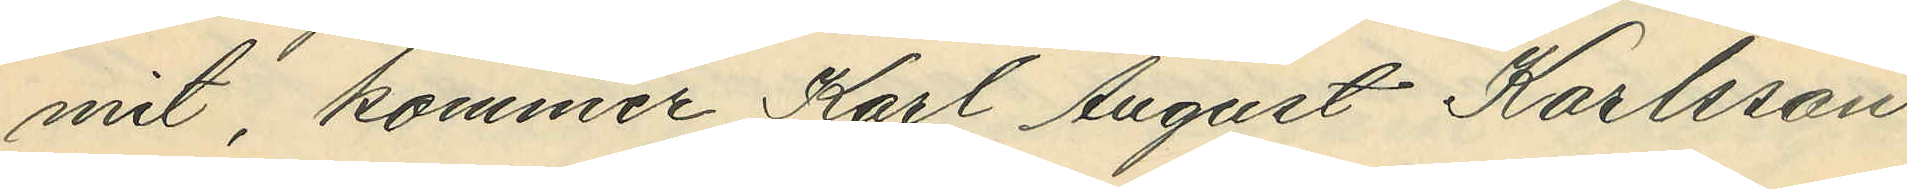mit, kommer Karl August Karlsson
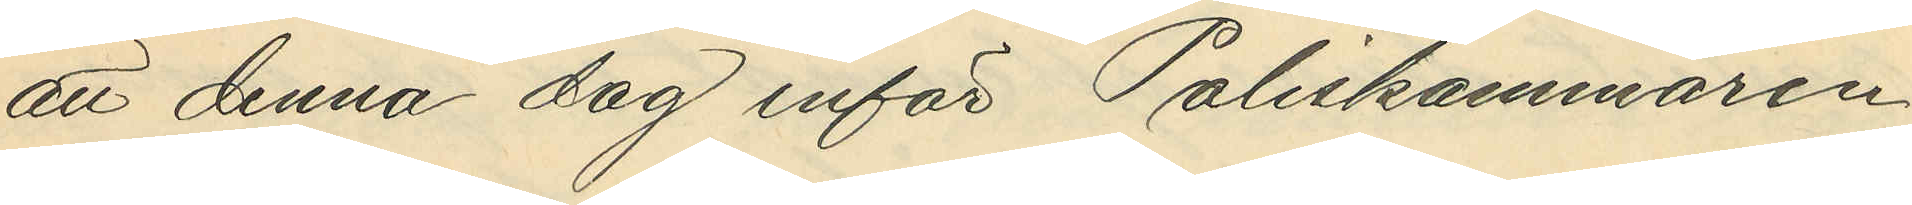att denna dag inför Poliskammaren
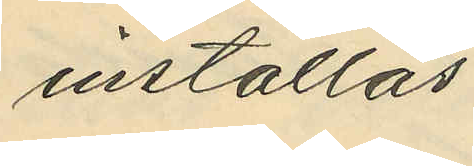inställas.
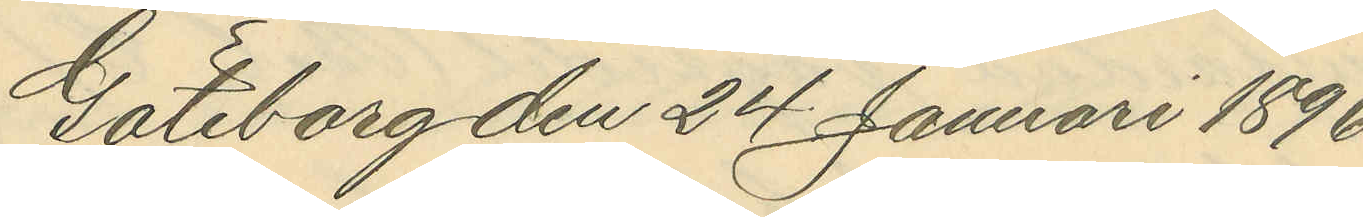Göteborg den 24 Januari 1896.
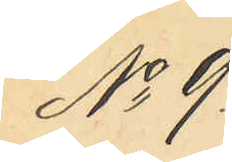No 9
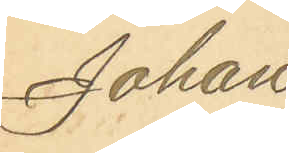Johan
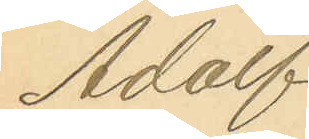Adolf
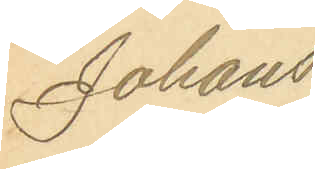Johans¬
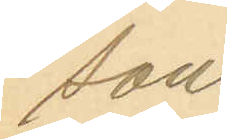son.
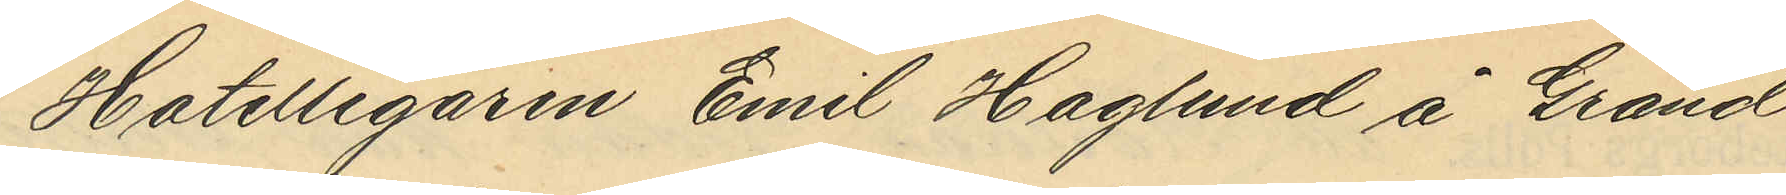Hotellegaren Emil Haglund å Grand
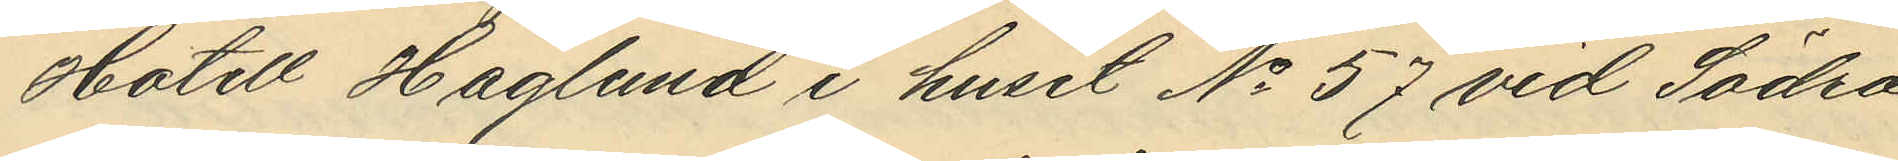Hotell Haglund i huset No 57 vid Södra
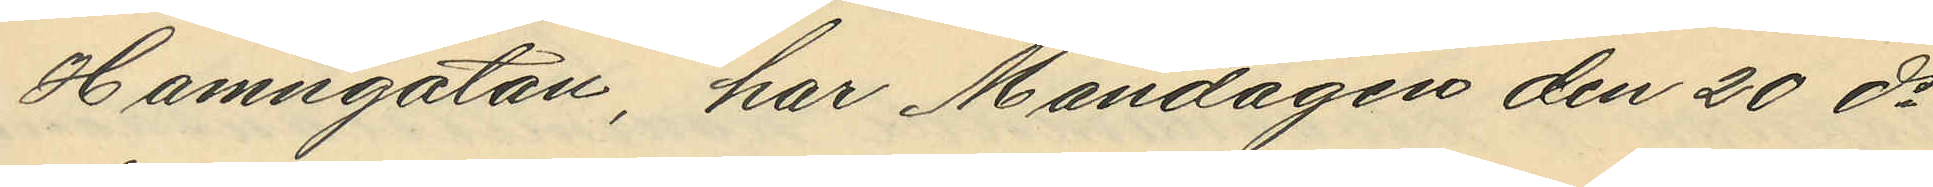Hamngatan, har Måndagen den 20 ds
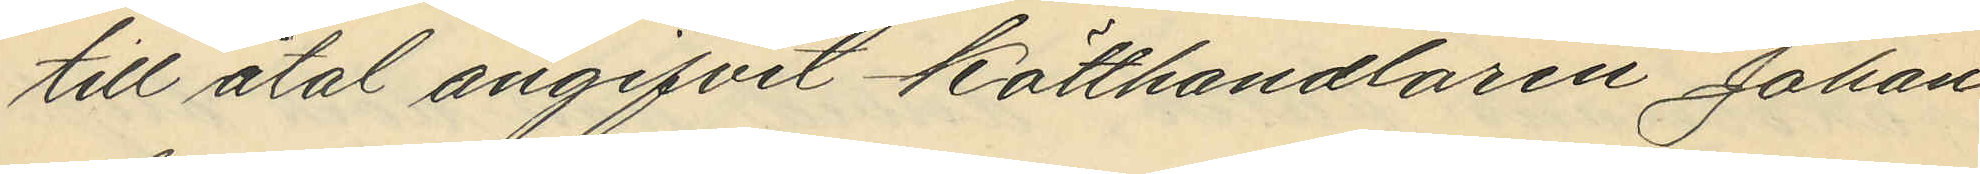till åtal angifvit kötthandlaren Johan
